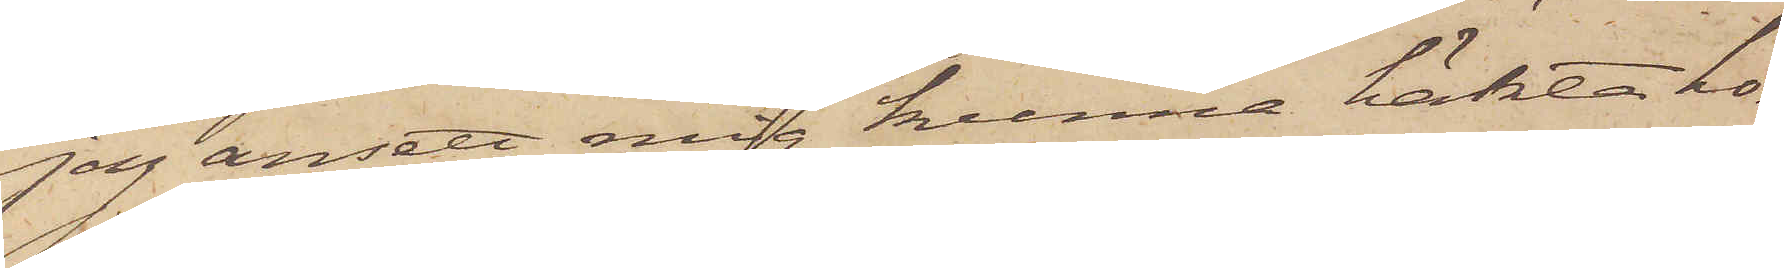jag ansett mig kunne häkta ho¬
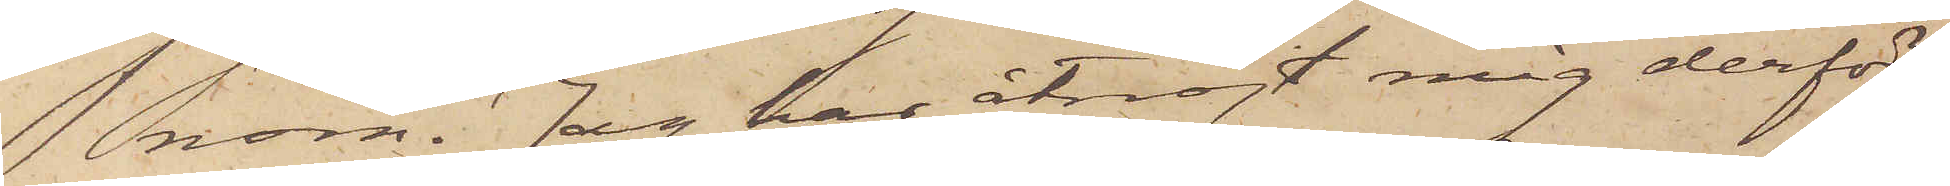nom. Jag has åtnöjt mig derför
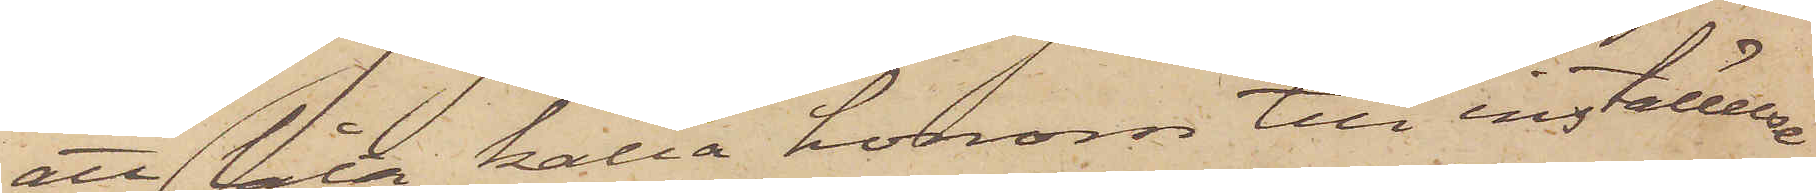att låta kalla honom om inställelse
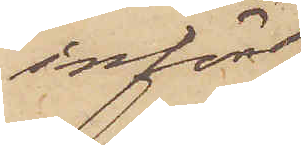inför
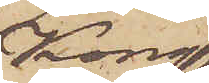Kong.
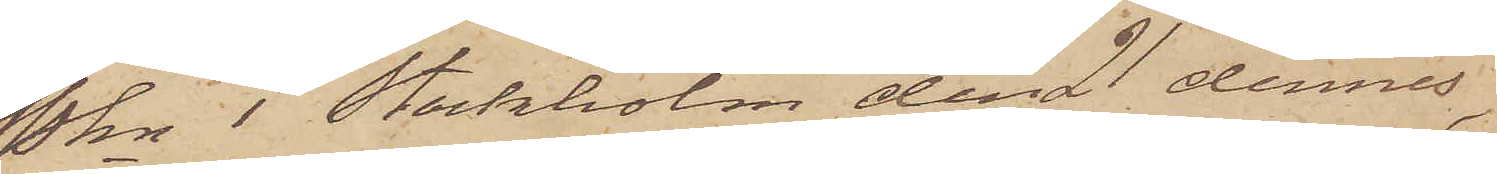Pkn i Stockholm den 21 dennes,
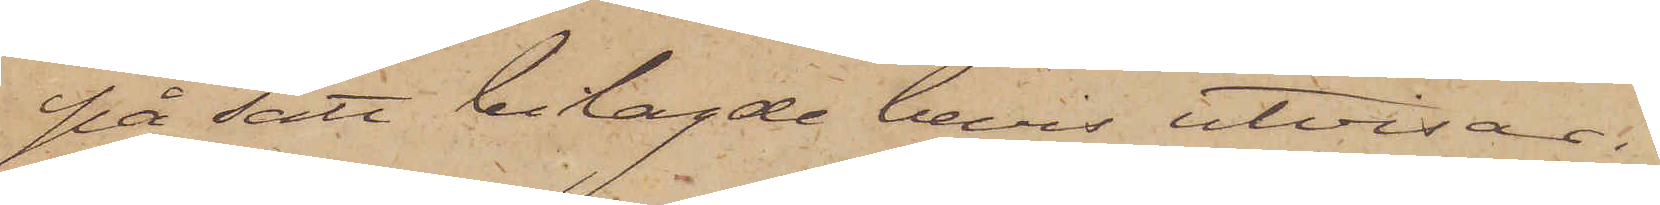på sätt belagde bevis utvisar.
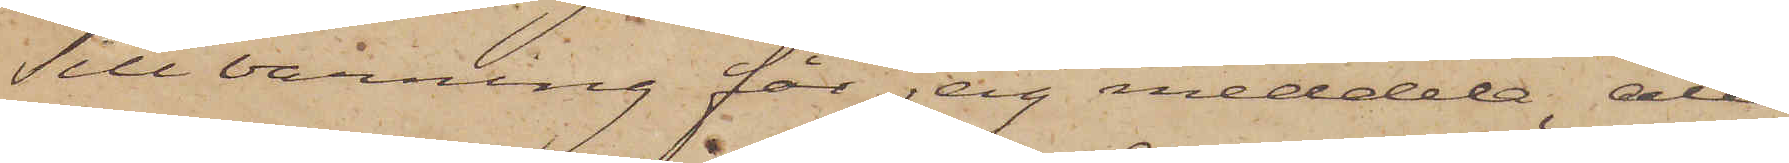Till varning får jag meddela, att
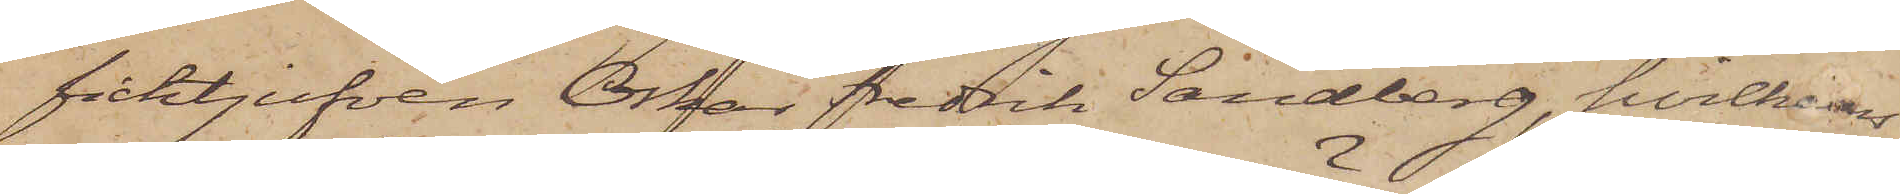ficktjufven Oskar Fredrik Sandberg, hvilkens
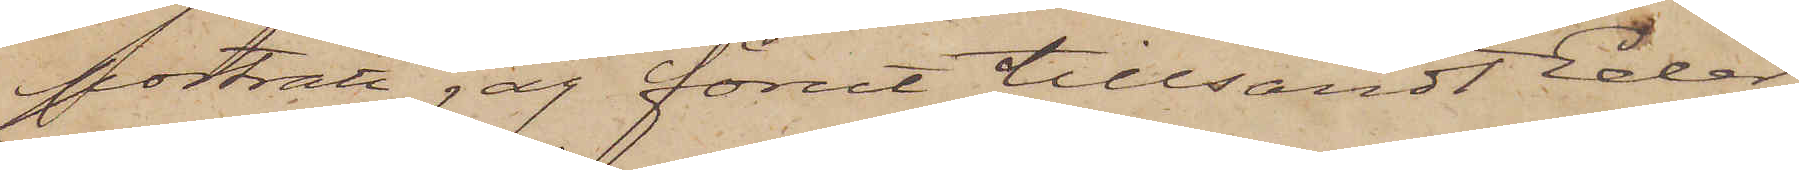porträtt jag förut tillsändt Eder,
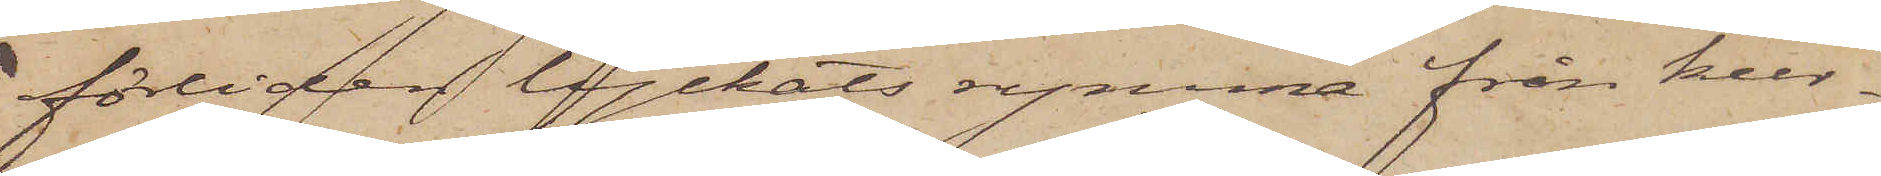förliden lyckats rymma från kur¬
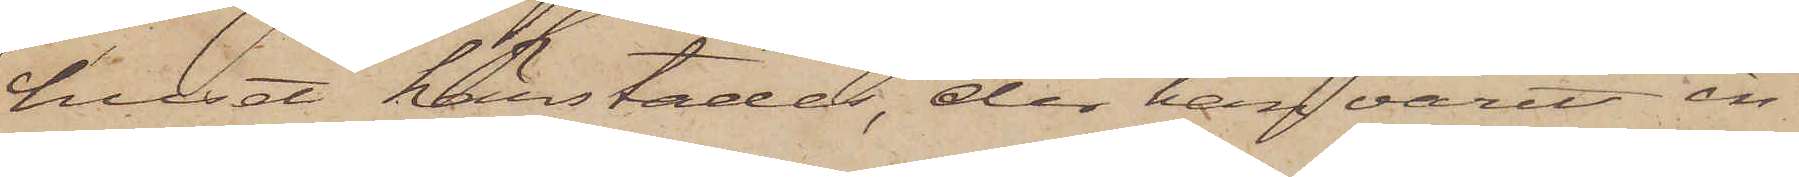huset härstädes, der han varit in¬
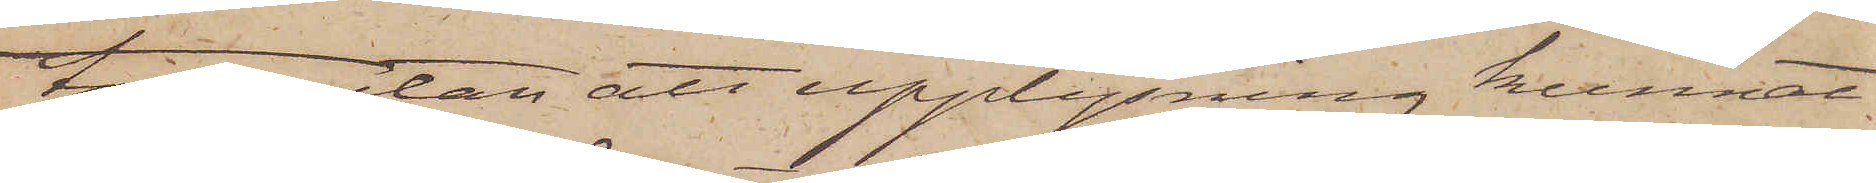tagen, utan att upplysning kunnat
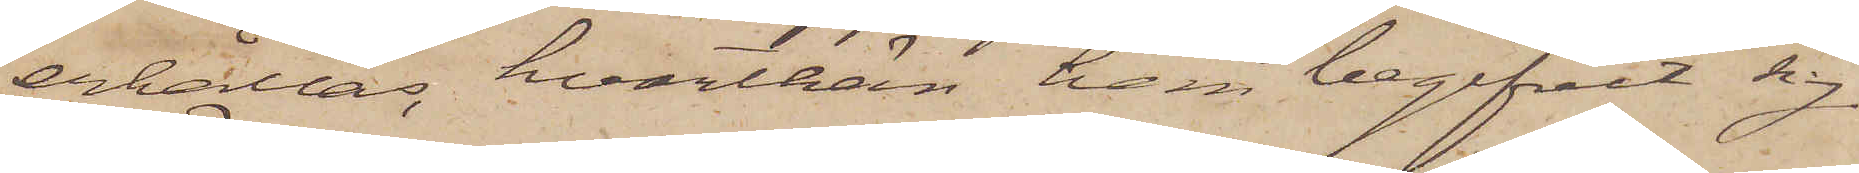erhållas, hvarthän han begifvit sig.
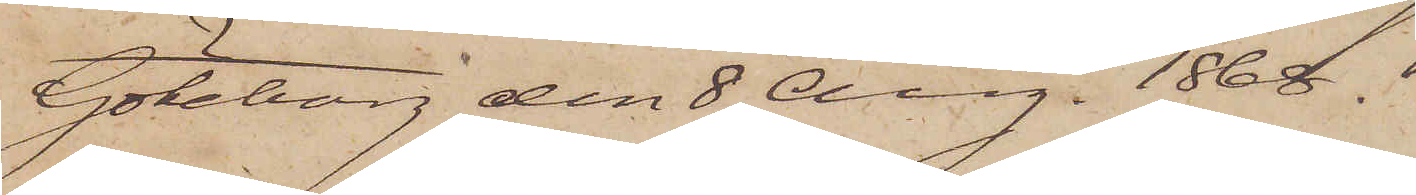Göteborg den 8 Aug. 1868.
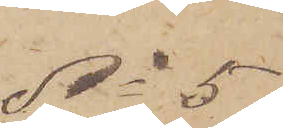No 5
